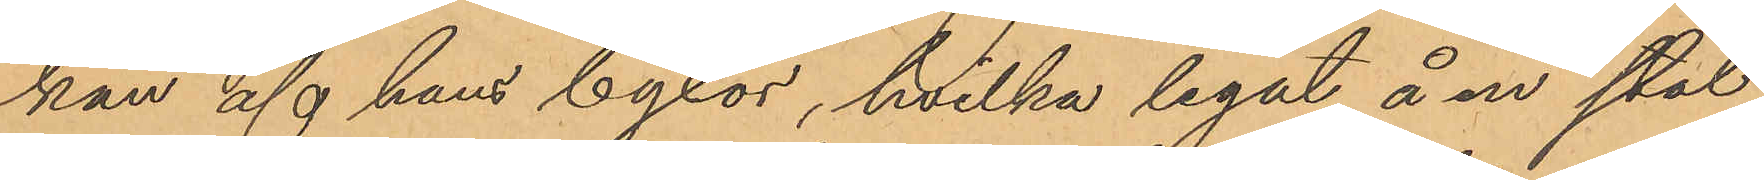kan af hans byxor, hvilka legat å en stol
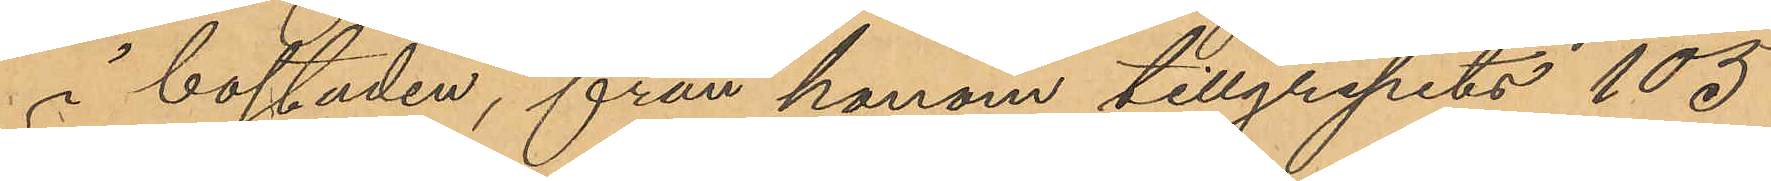i  bostaden, från honom tillgripits 105
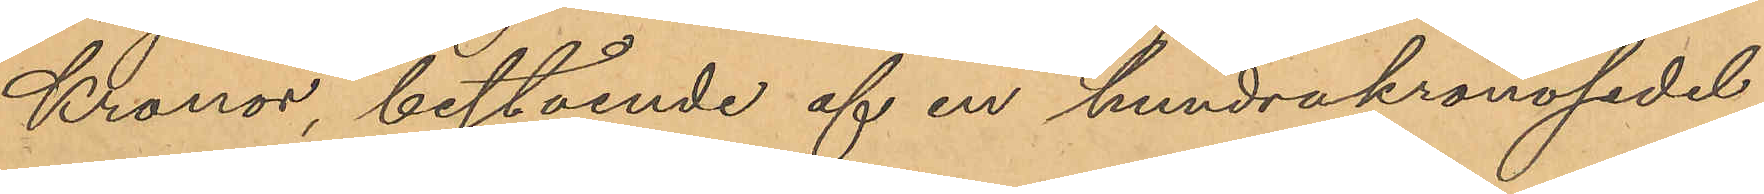Kronor, bestående af en hundrakronosedel
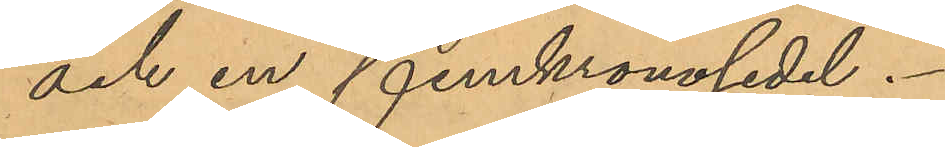och en femkronosedel.
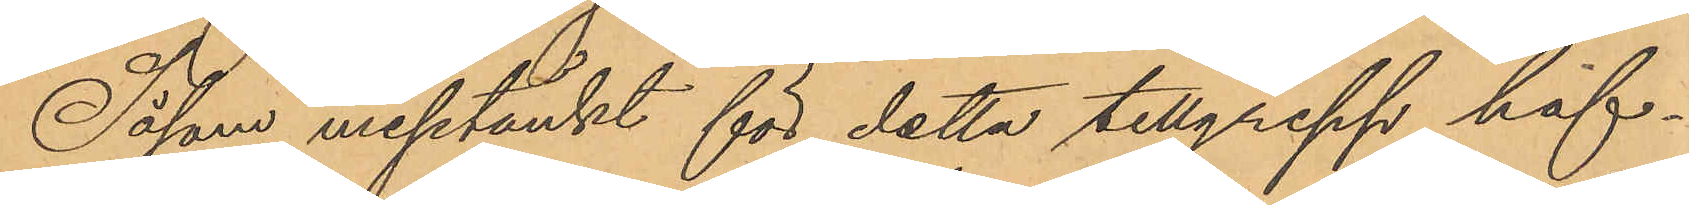Såsom misstänkt för detta tillgrepp haf¬
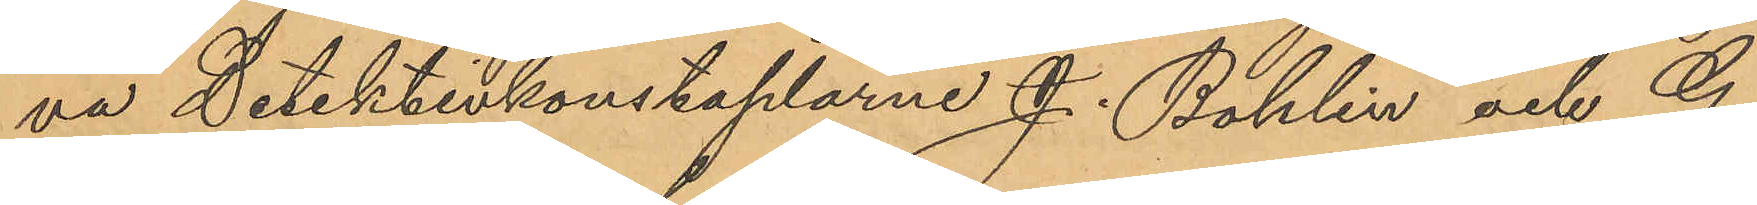va Detektivkonstaplarne J. Bohlin och G.
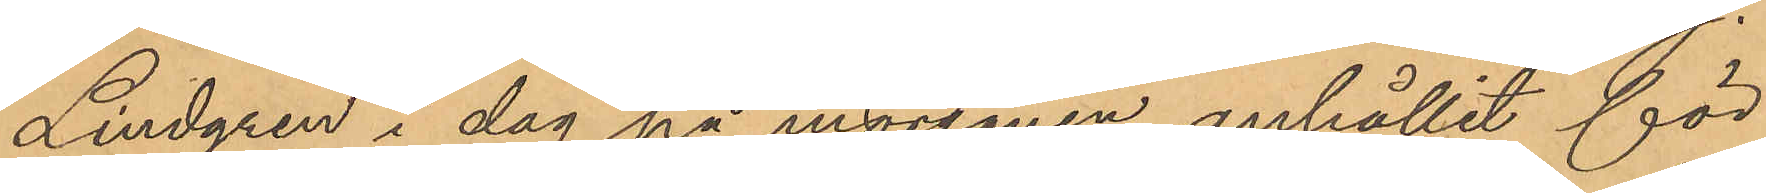Lindgren i dag på morgonen anhållit för
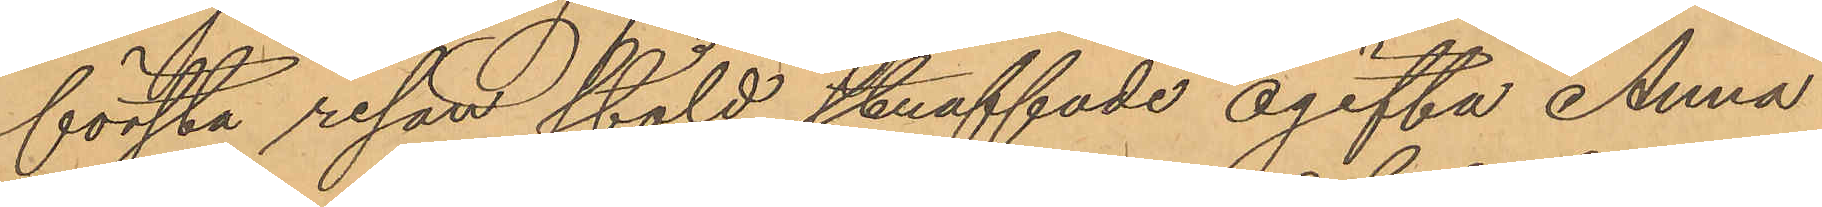första resan stöld straffade ogifta Anna
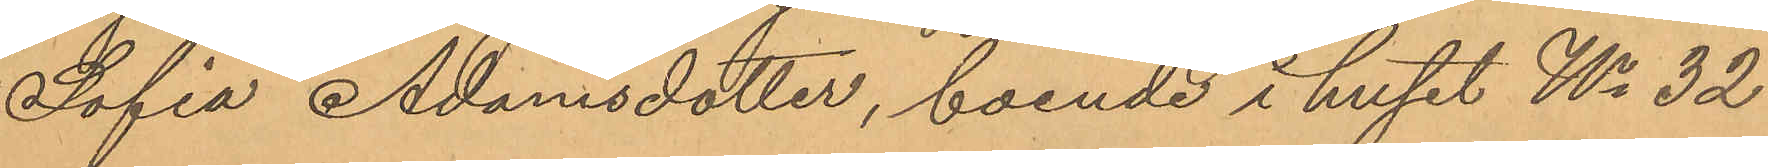Sofia Adamsdotter, boende i huset No 32
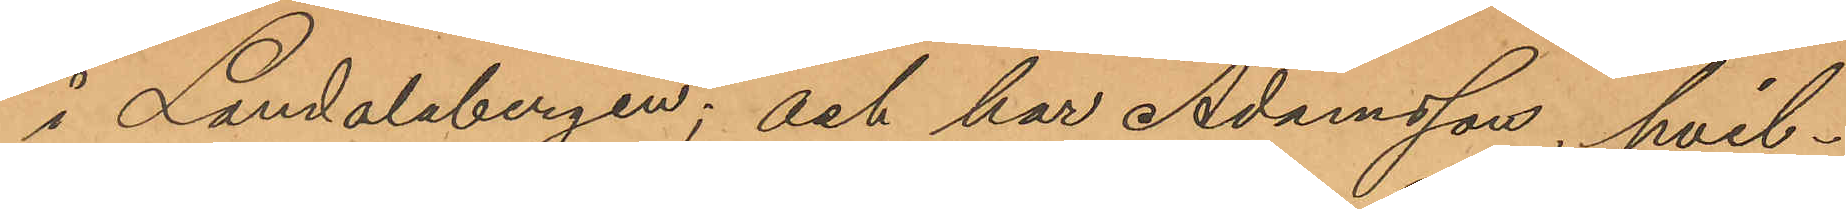i Landalabergen; och har Adamsson, hvil¬
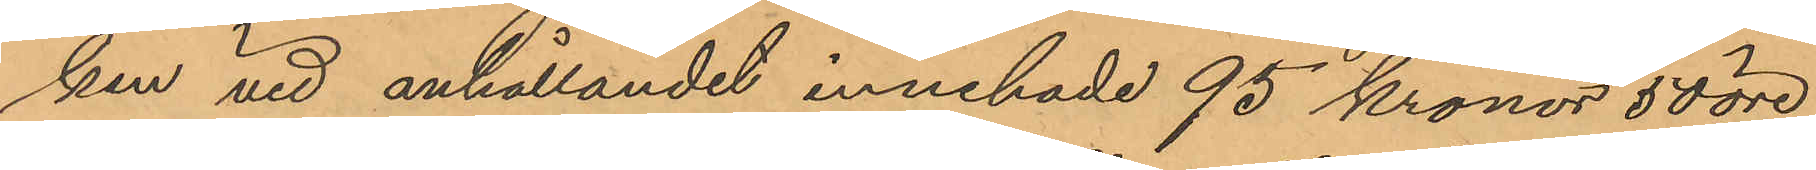ken vid anhållandet innehade 95 kronor 50 öre
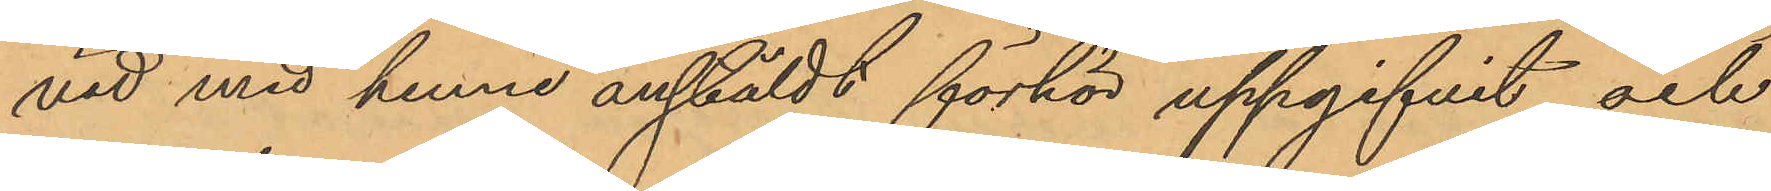vid med henne anstäldt förhör uppgifvit och
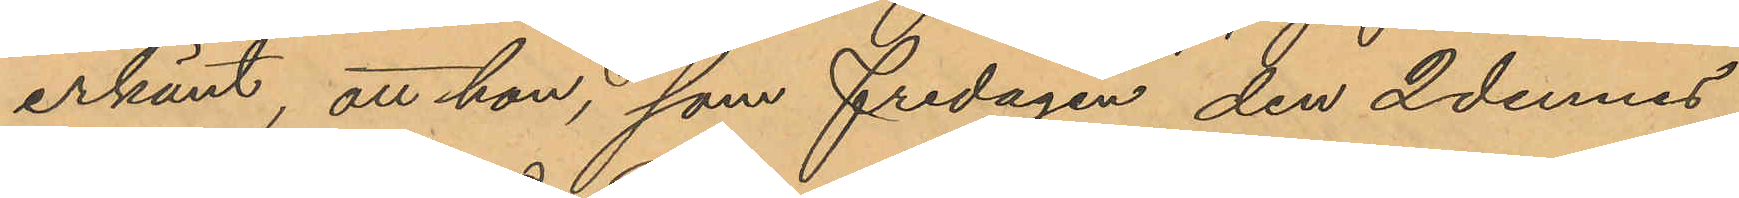erkänt, att hon, som fredagen den 2 dennes
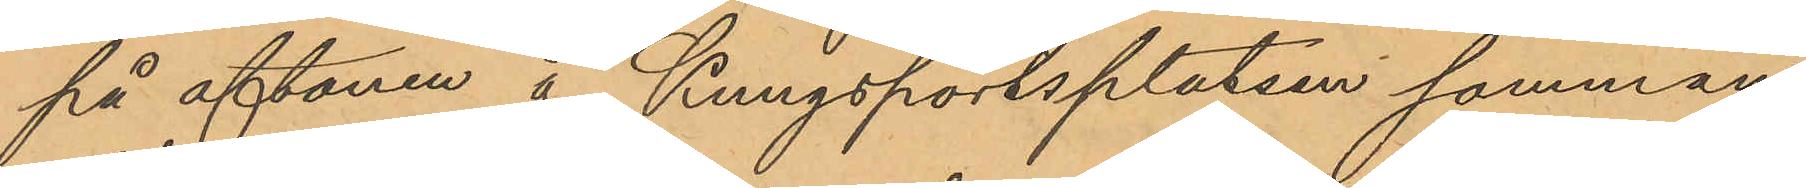på aftonen å Kungsportsplatsen samman¬
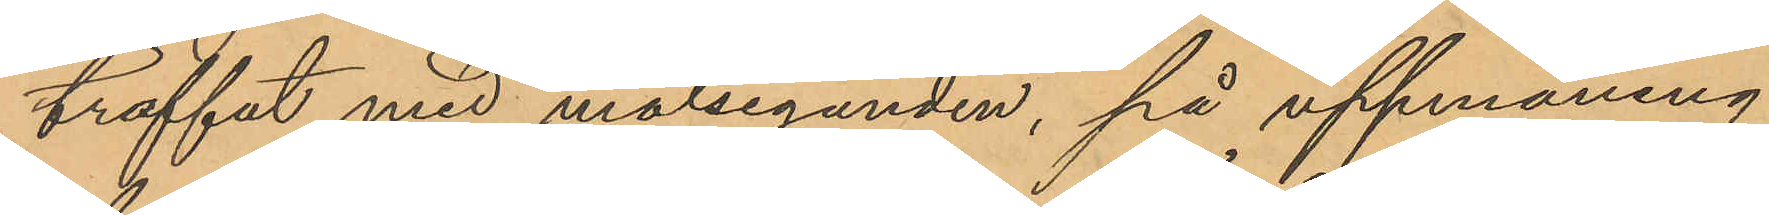träffat med målseganden, på uppmaning
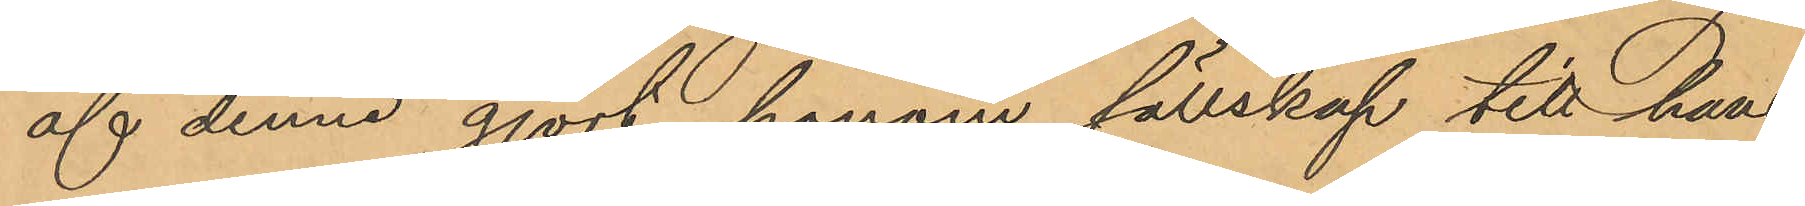af denne gjort honom sällskap till hans
